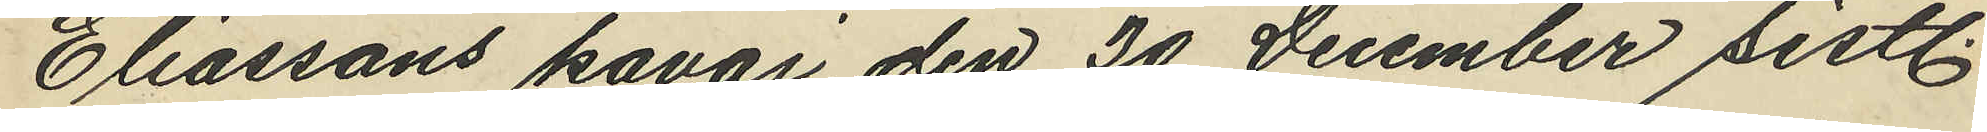Eliassons kavaj den 30 December sistl.
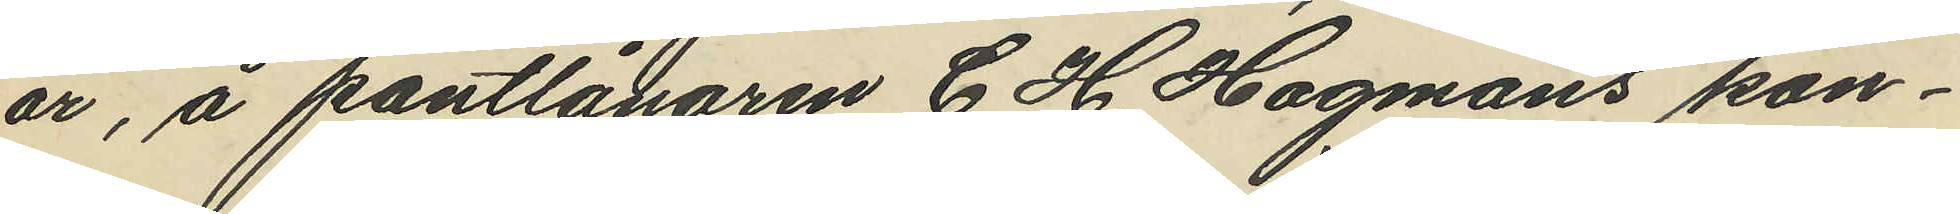år, å pantlånaren C. H. Hagmans kon¬
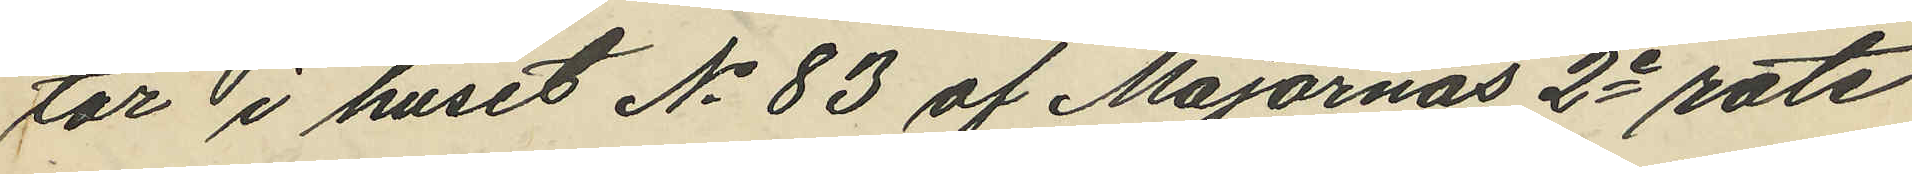tar i huset No 83 af Majornas 2e rote
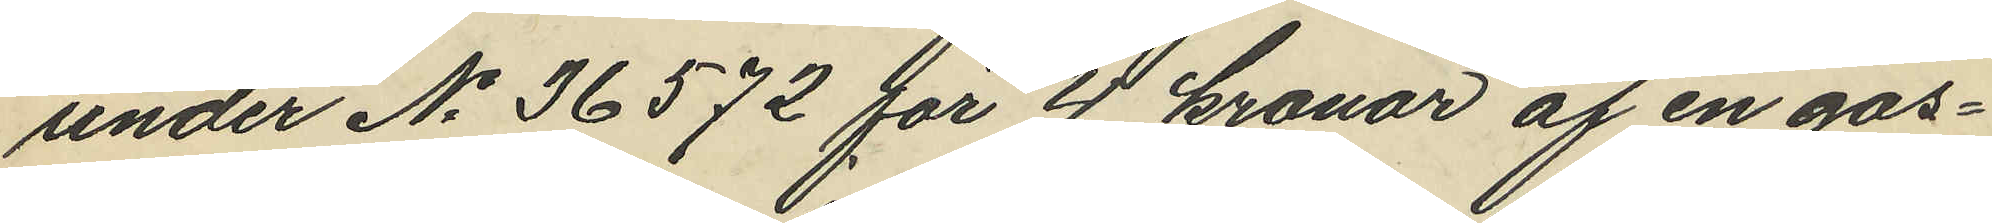under No 36572 för 4 kronor af en gos¬
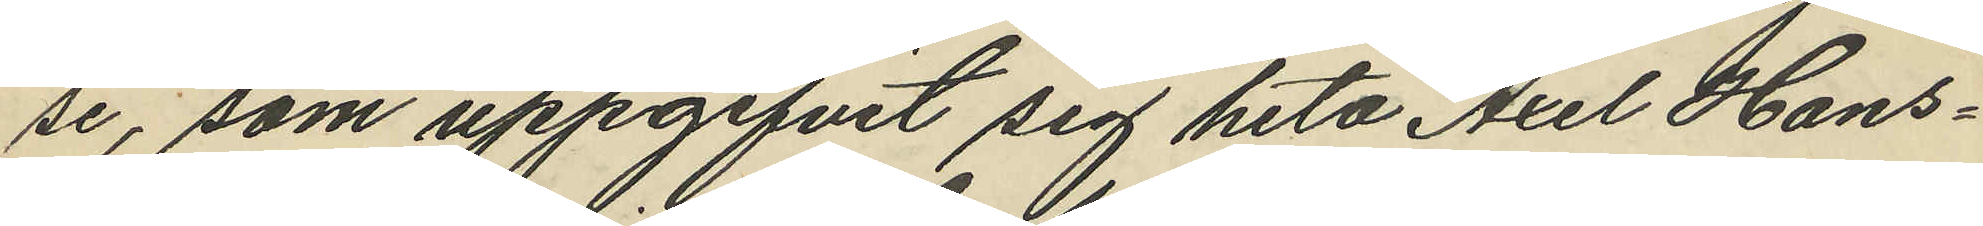se, som uppgifvit sig heta Axel Hans¬
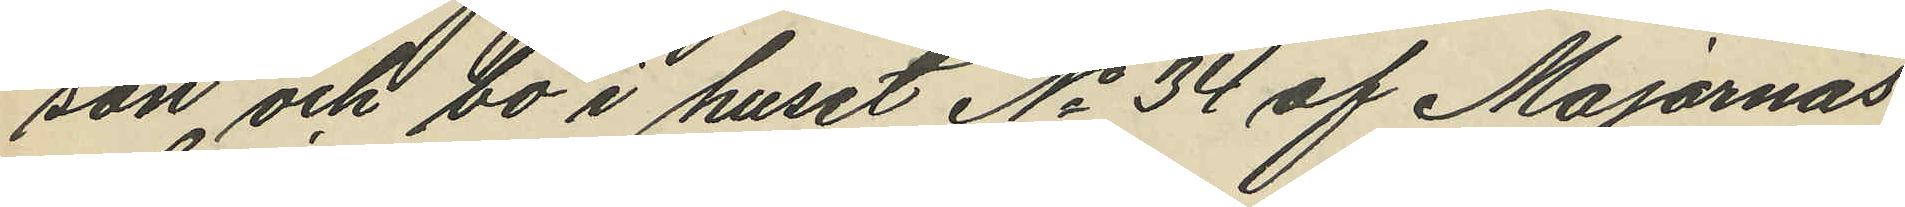son och bo i huset No 34 af Majornas
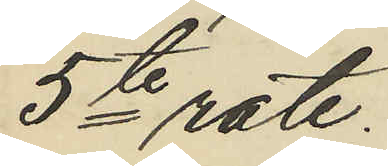5te rote.
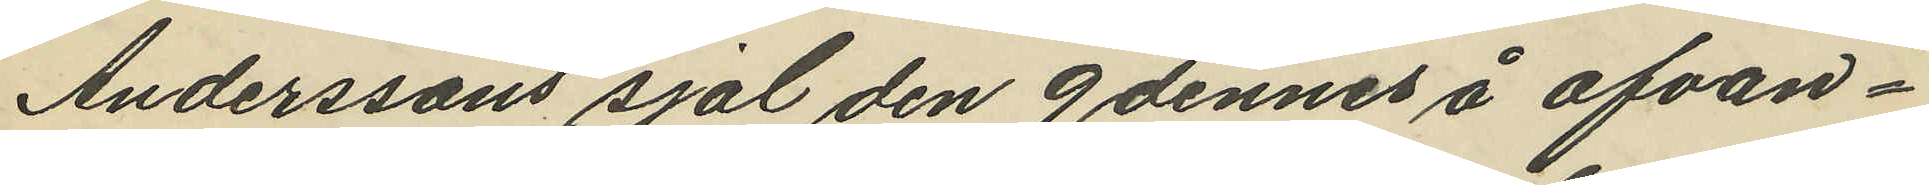Anderssons sjal den 9 dennes å ofvan¬
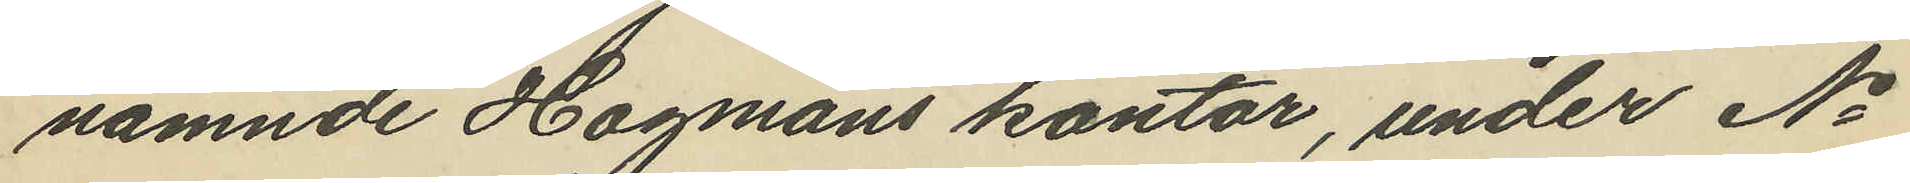nämnde Hagmans kontor, under No
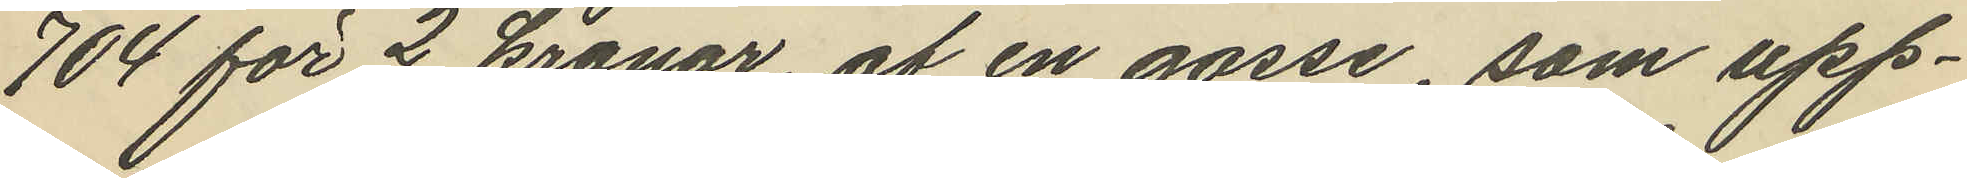704 för 2 kronor, af en gosse, som upp¬
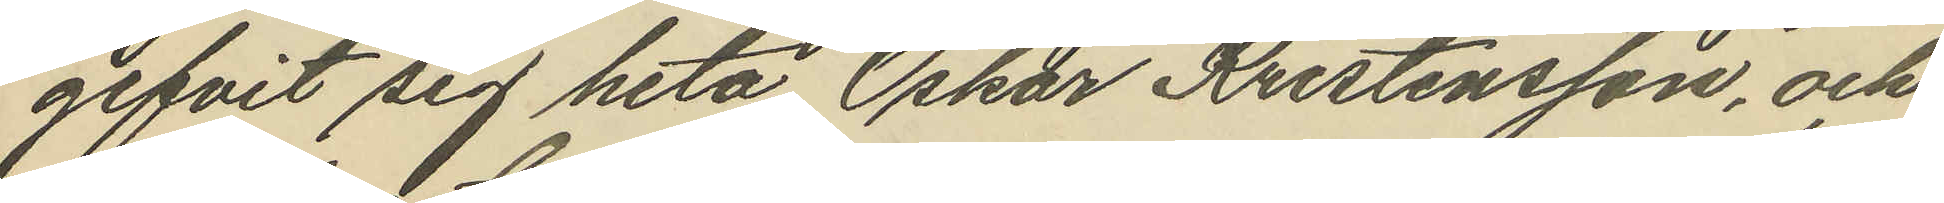gifvit sig heta Oskar Kristensson, och
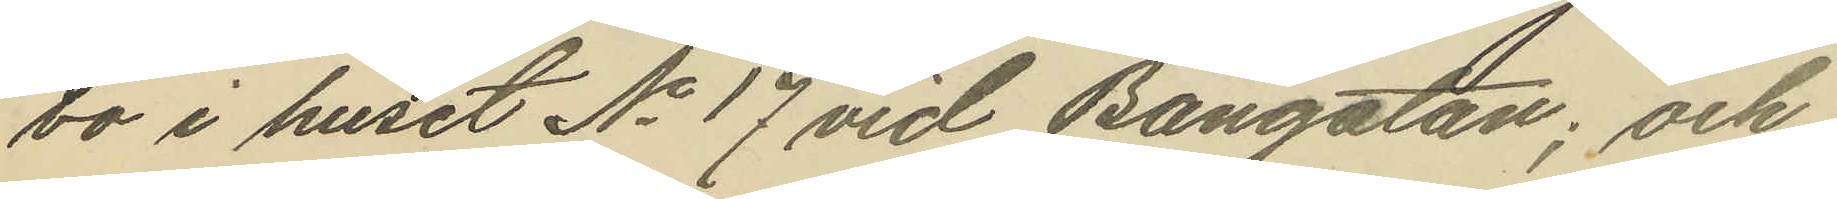bo i huset No 17 vid Bangatan; och
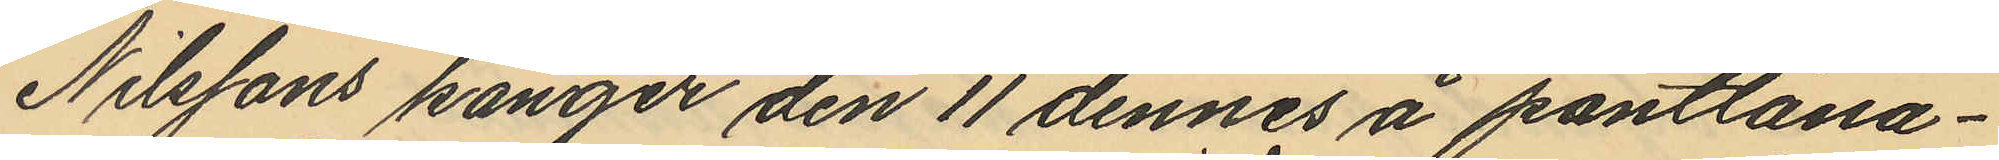Nilssons känger den 11 dennes å pantlåna¬
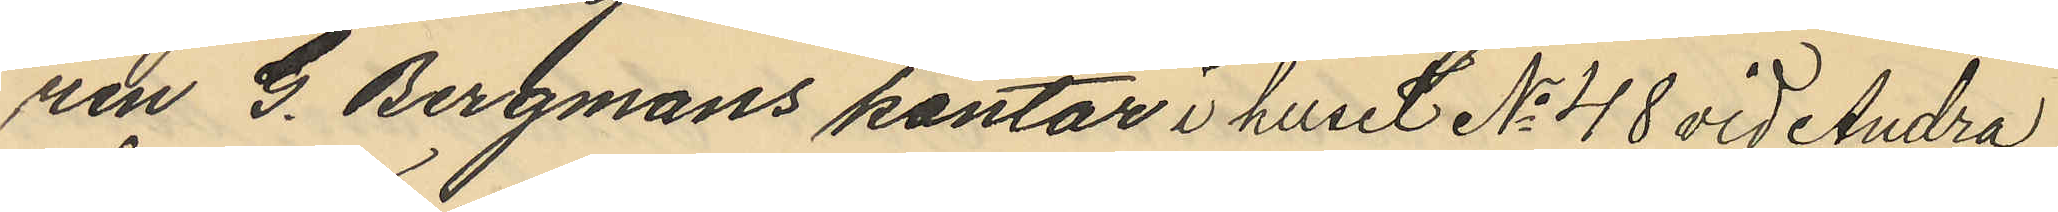ren G. Bergmans kontor i huset No 48 vid Andra
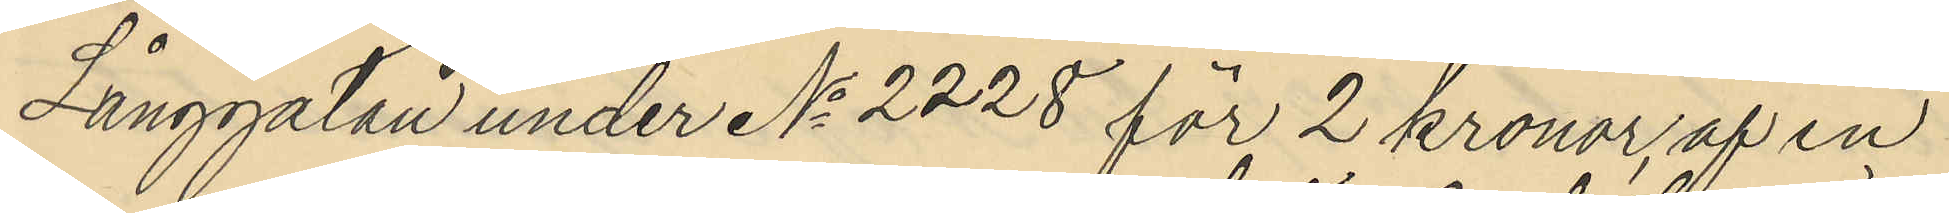Långgatan under No 2228 för 2 kronor, af en
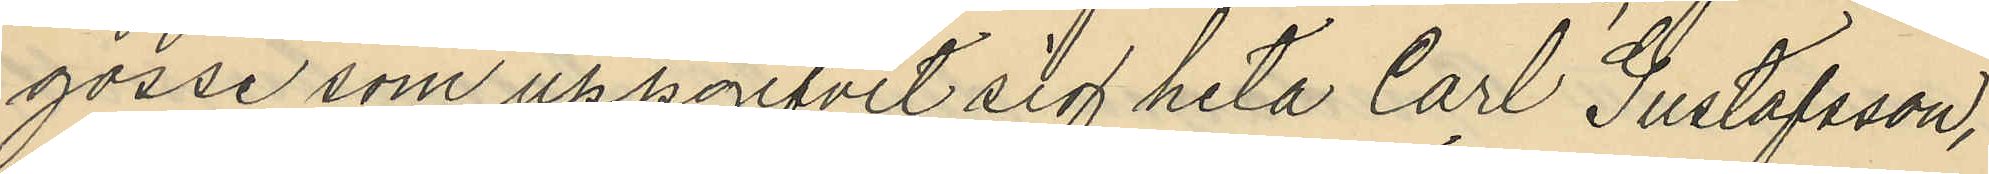gosse som uppgifvit sig heta Carl Gustafsson,
